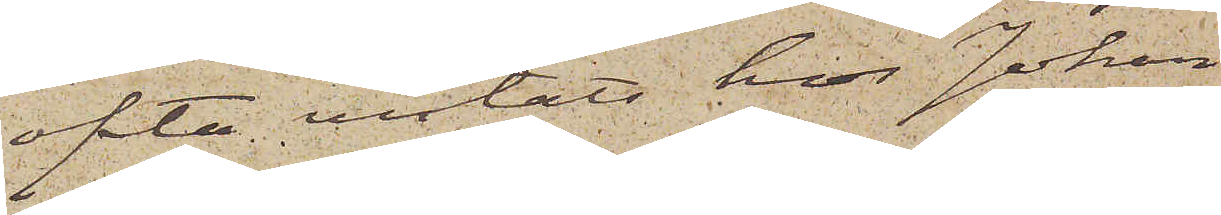ofta vistats hos Johan
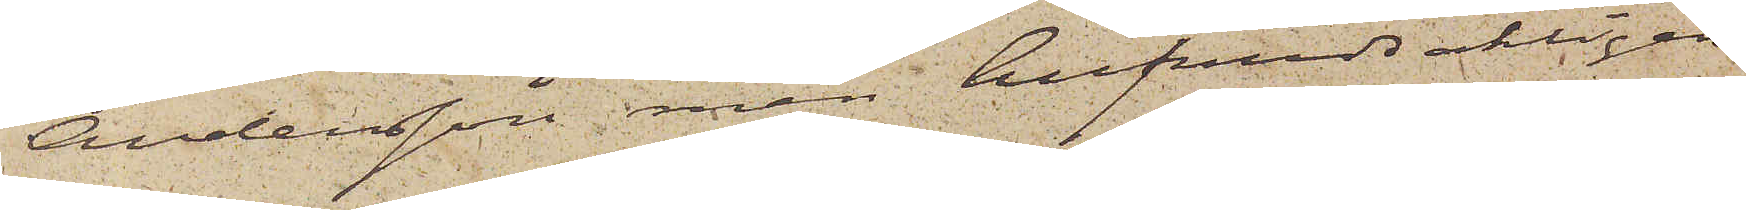Andersson, men hufvudsakligen
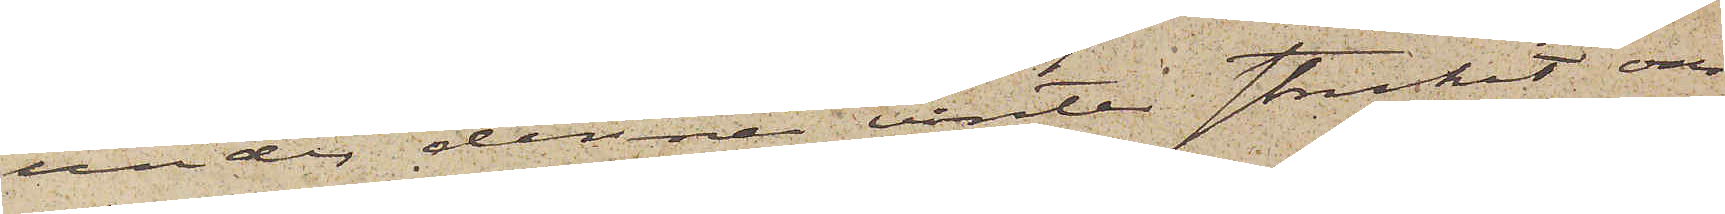under denna vinter strukit om¬
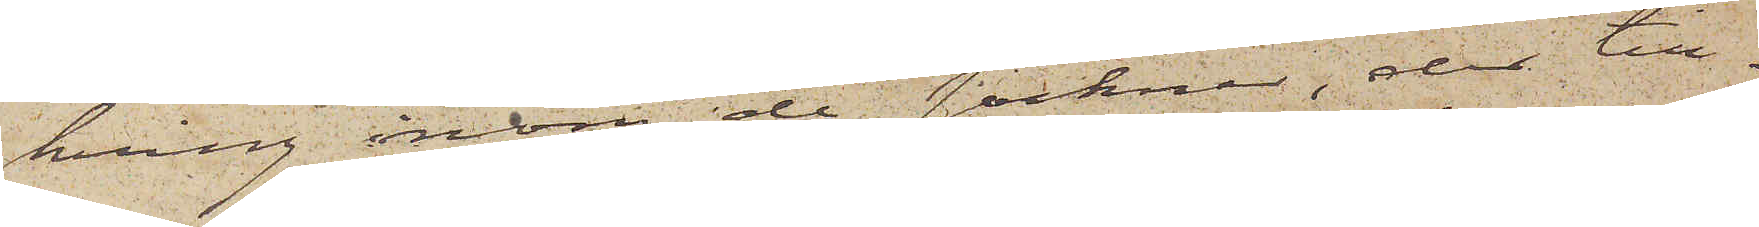kring inom de socknar, der till¬
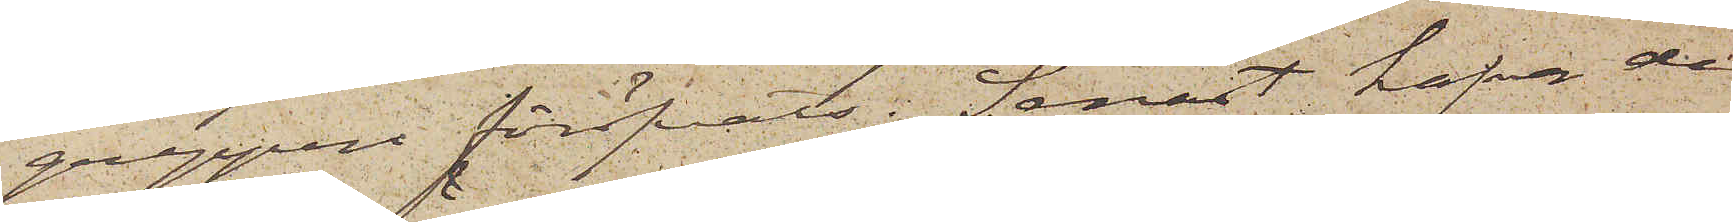greppen föröfvats. Senast hafva de
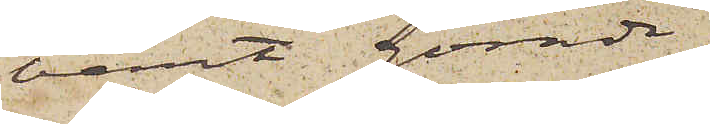varit gömde i
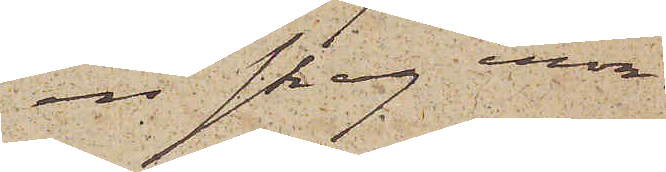en skog inom
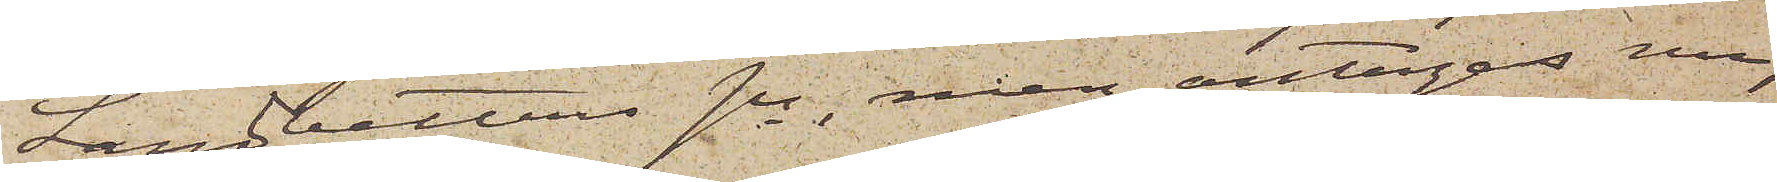Landvetters sn, men antagas nu,
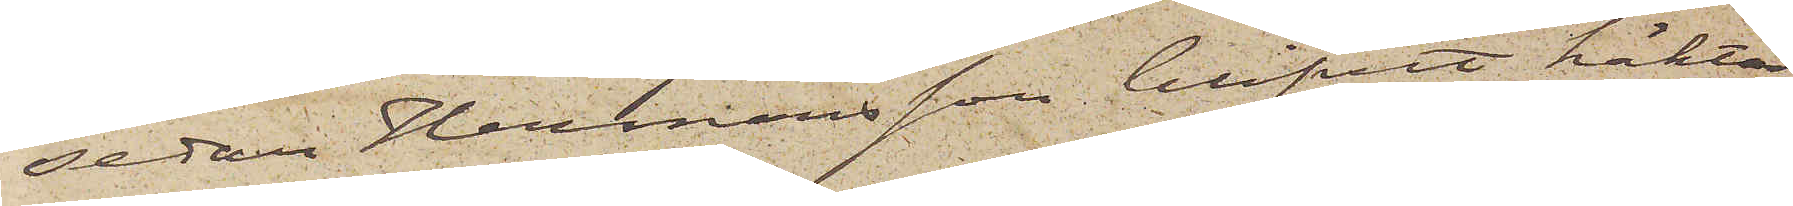sedan Hermansson blifvit häktad,
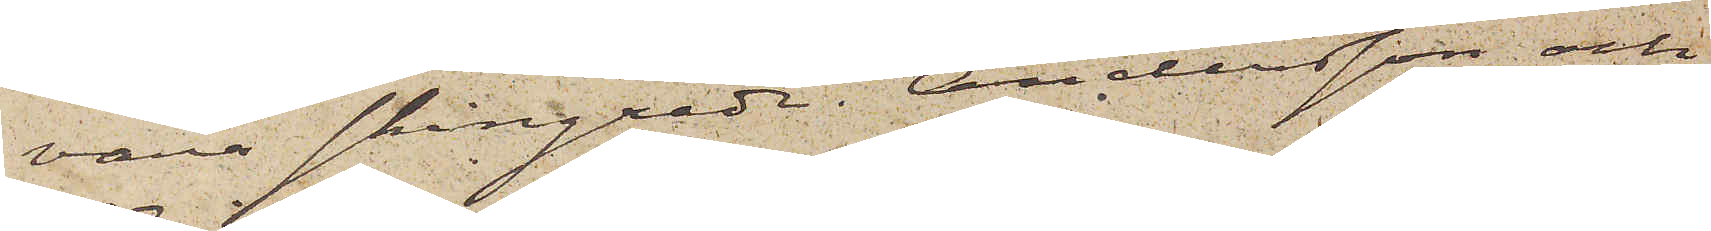vara skingrade. Andersson och
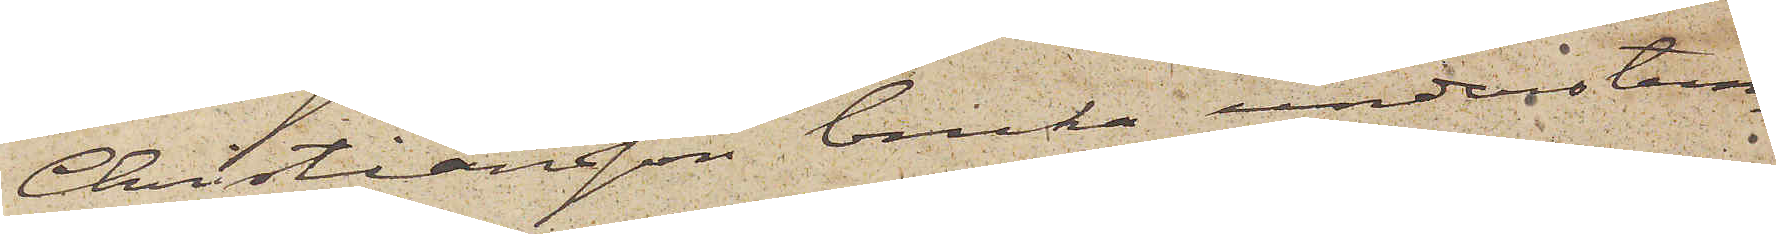Christiansson bruka understun¬
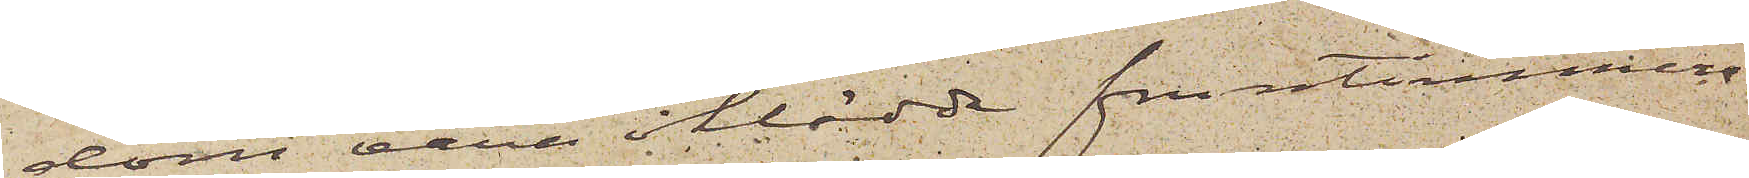dom vara iklädda fruntimmers¬
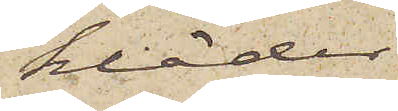kläder.
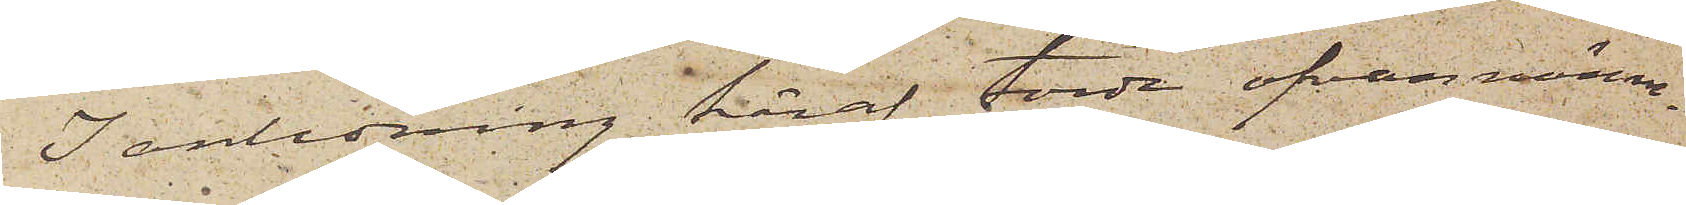I anledning häraf torde ofvannämn¬
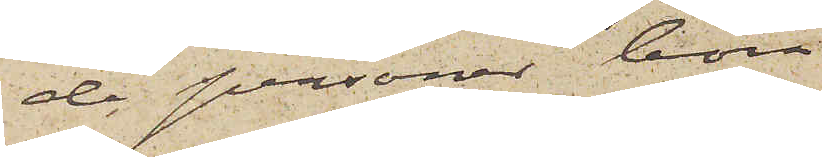de personer böra
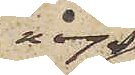noga
